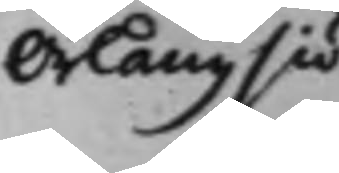Orlångsiö
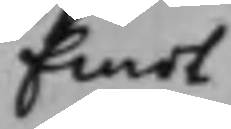Emot
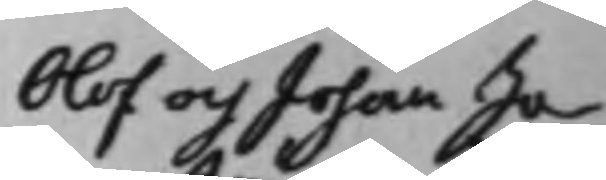Olof och Johan Jo¬
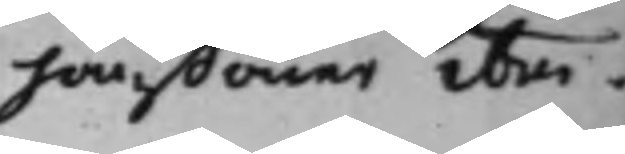hanßöner ibm.
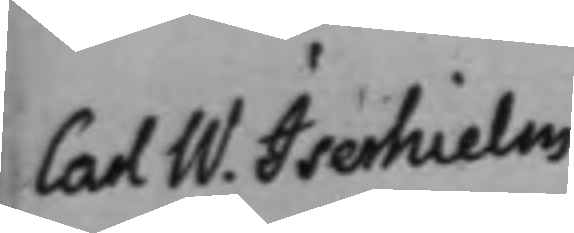Carl W. Iserhielm 
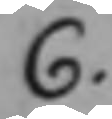C.
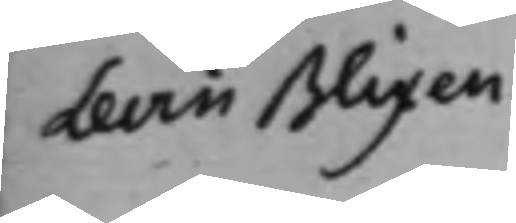Levin Blixen
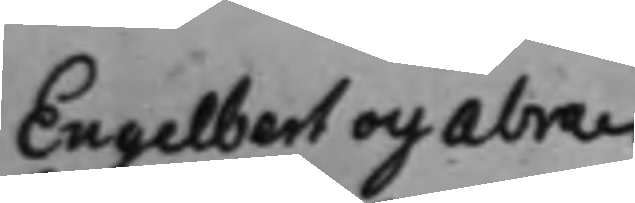Engelbert och Abra¬ 
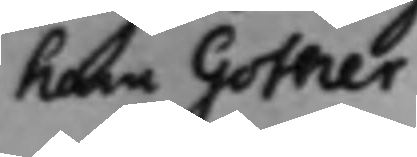ham Gother
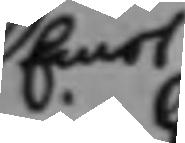Emot
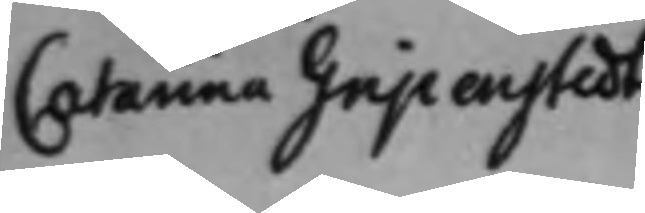Catarina Gripenstedt
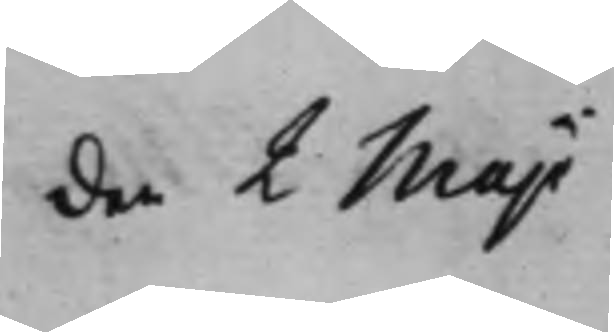den 2 Maji
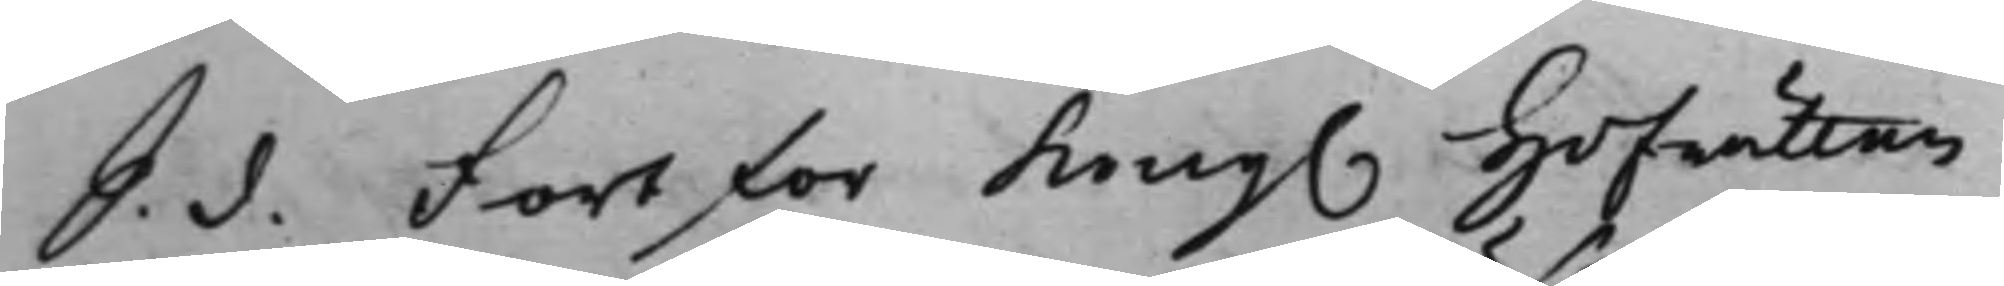S. d. Fortfor Kong. Hofrätten 
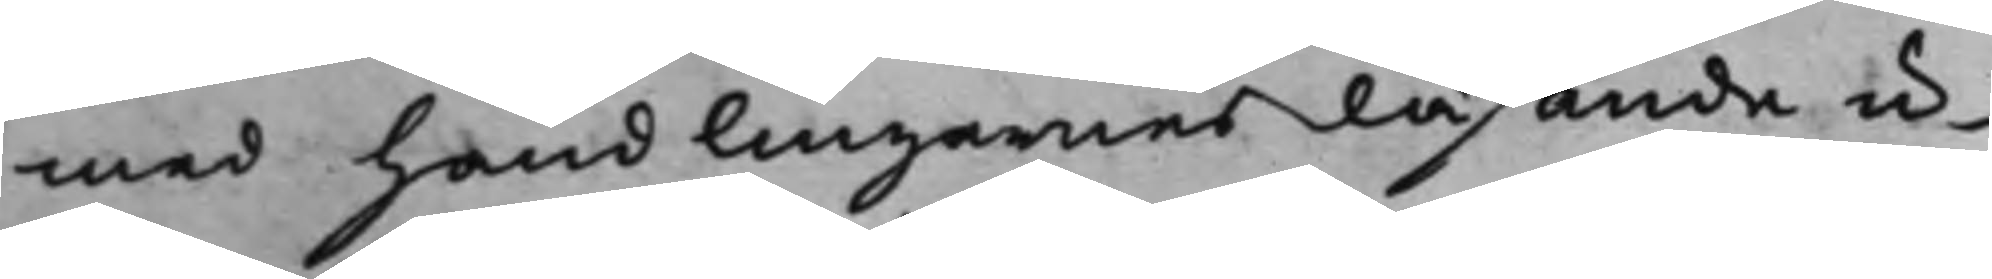med handlingarnes läsande u¬
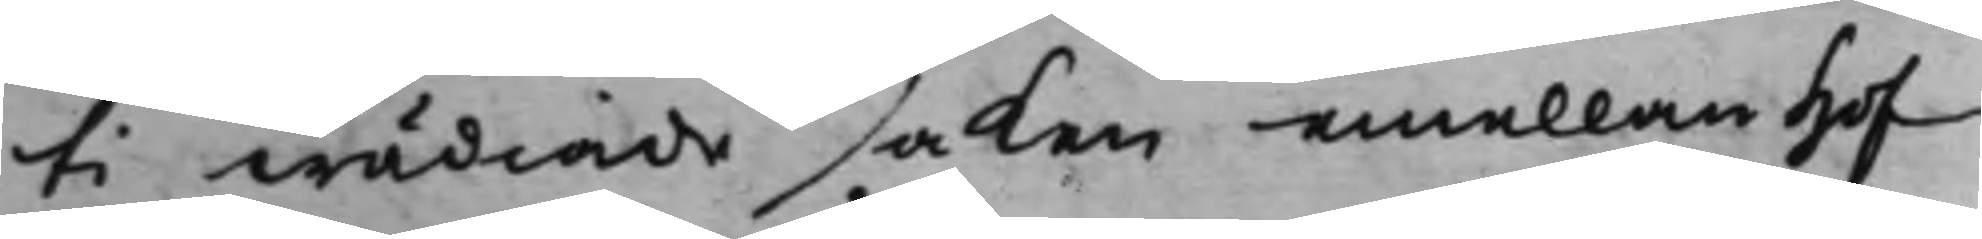ti wädiade saken emellan Hof¬
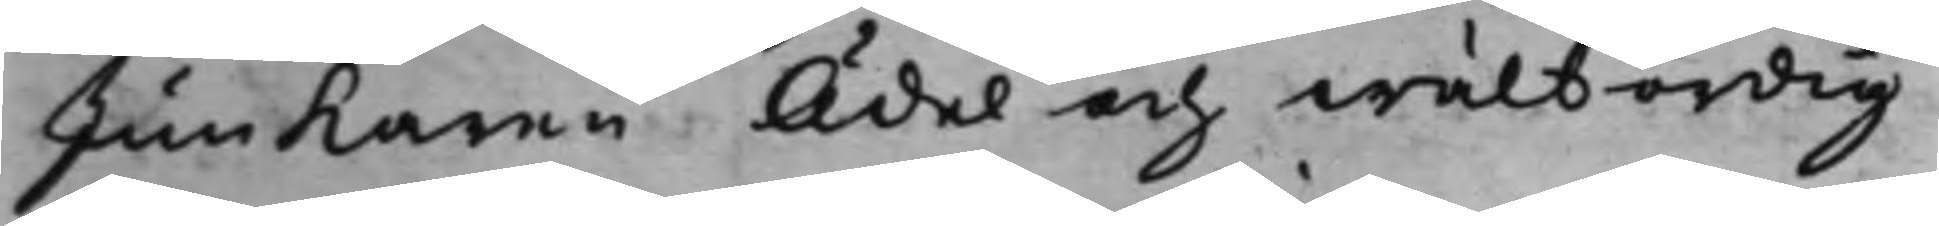Junkaren Ädel och wälbördig
